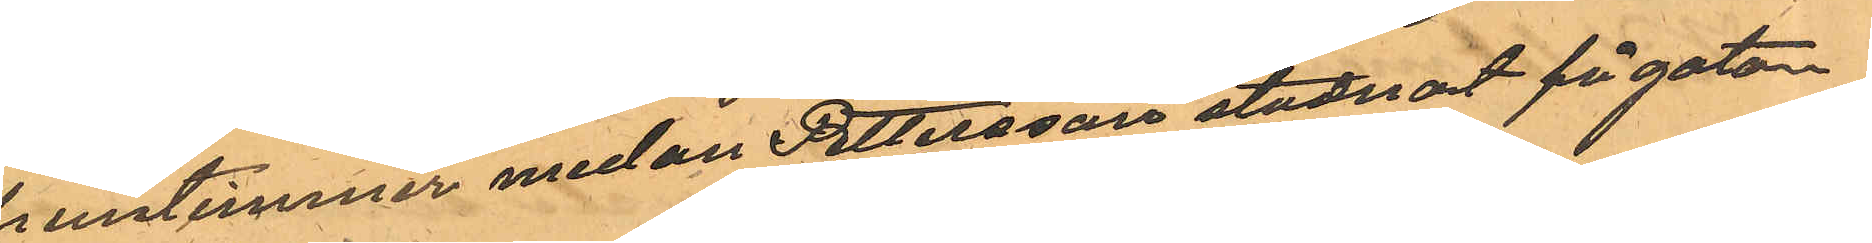fruntimmer medan Pettersson stadnat på gatan
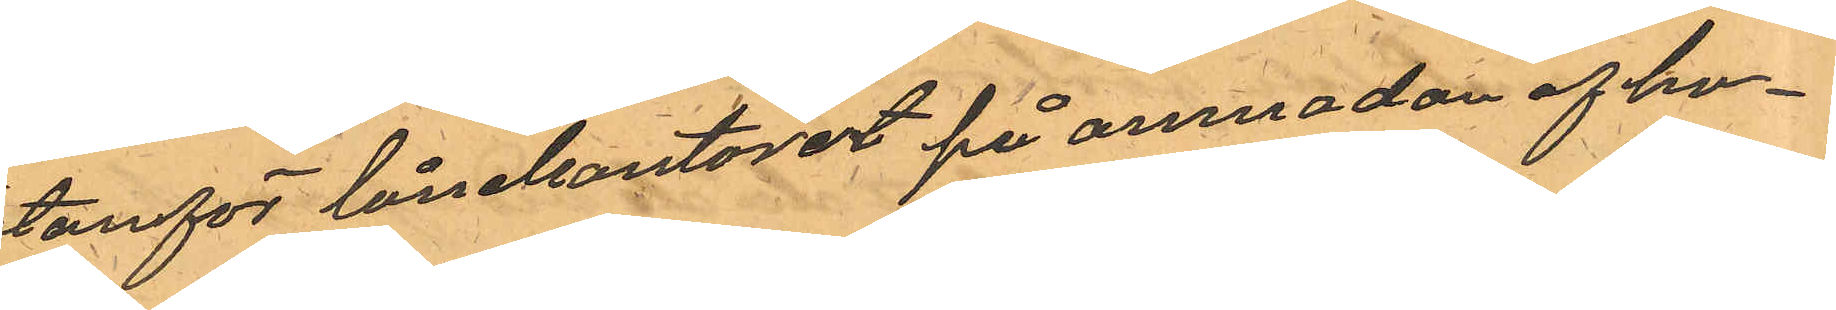utanför lånekontoret på anmodan af ho¬
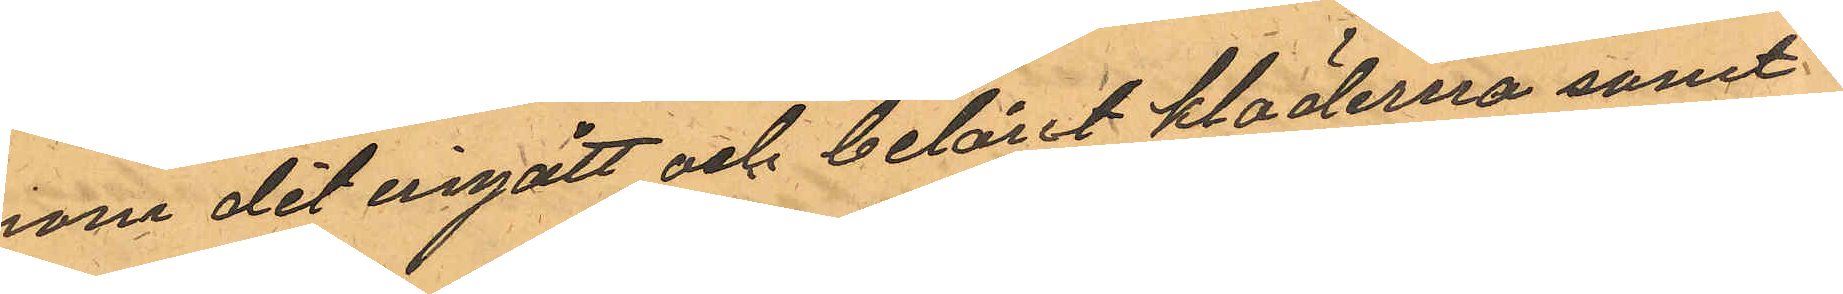nom dit ingått och belånt kläderna samt
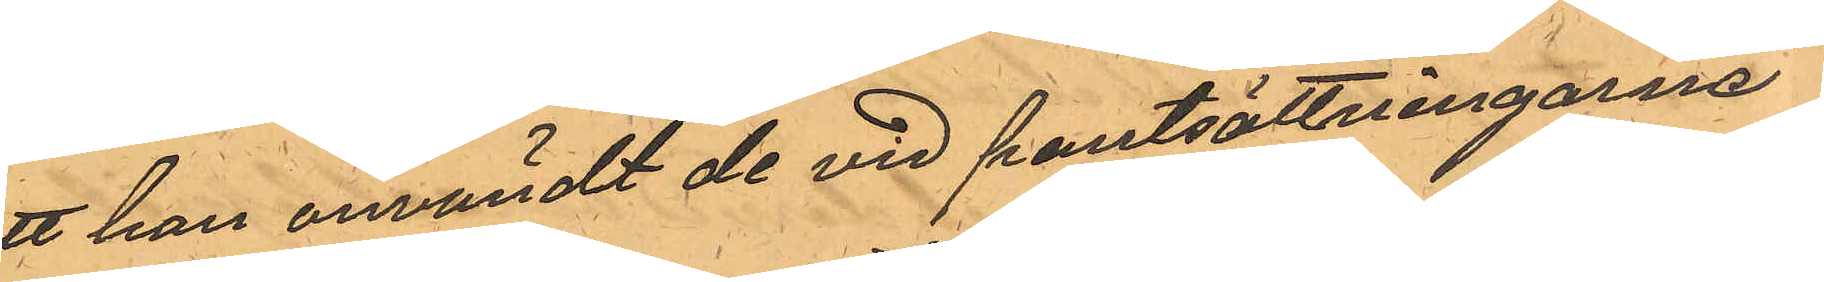att han användt de vid pantsättningarna
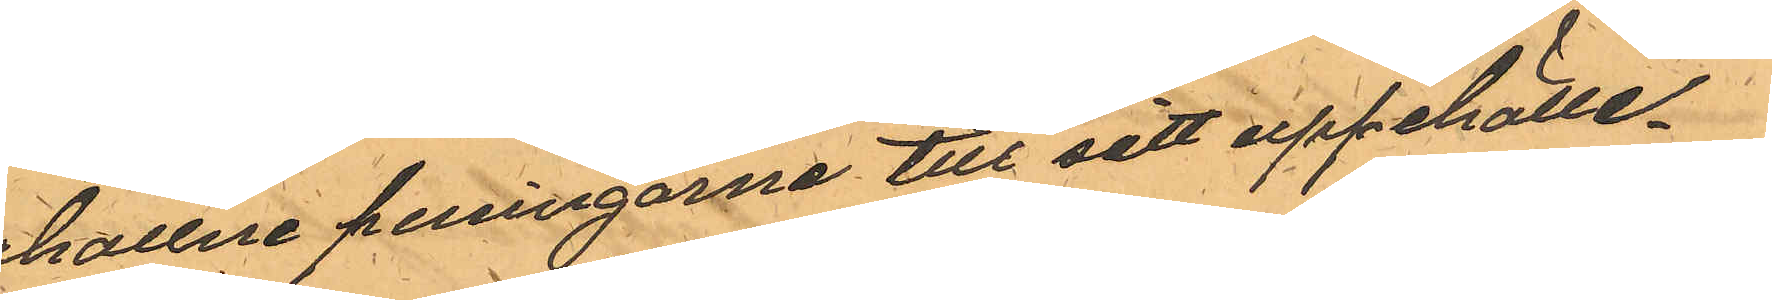erhallne penningarne till sitt uppehälle.
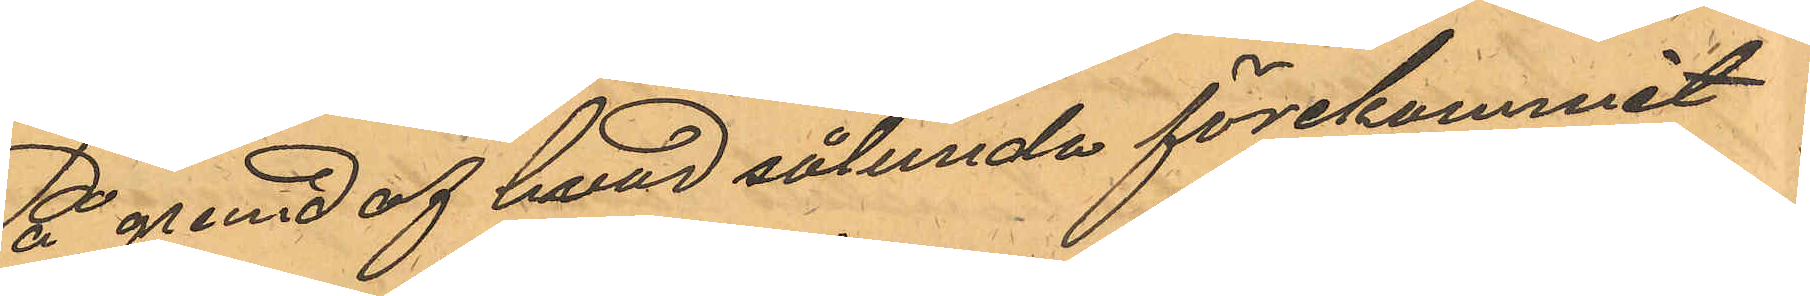På grund af hvad sålunda förekommit
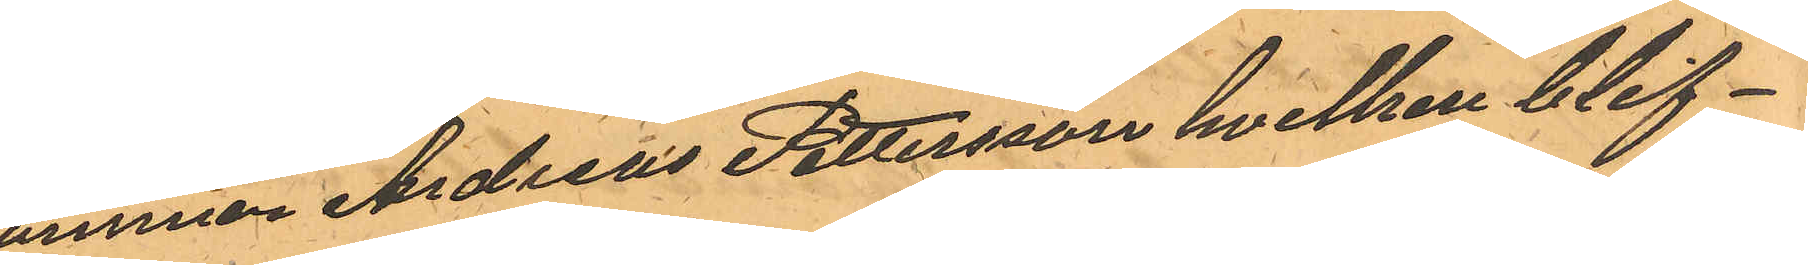kommer Andreas Pettersson hvilken blif¬
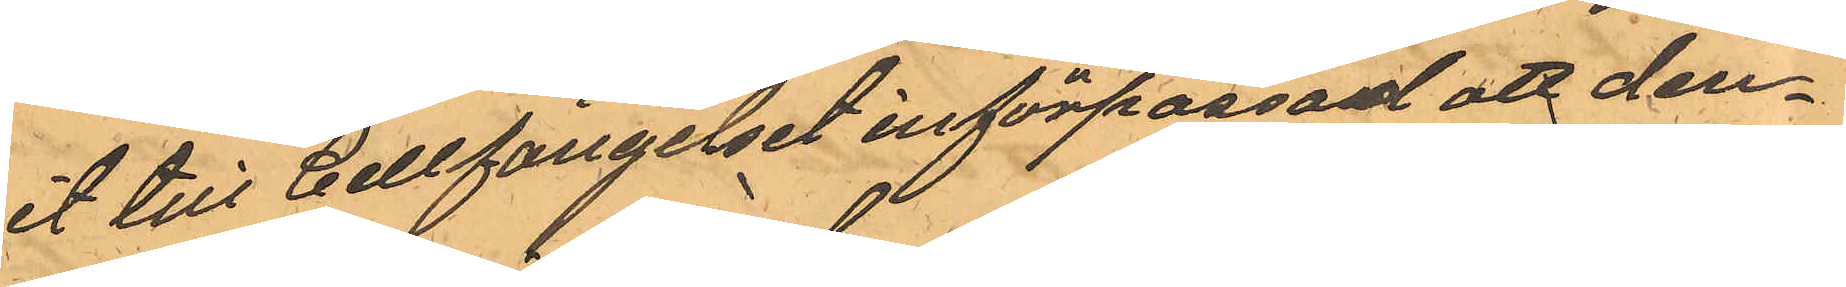vit till Cellfängelset införpassad att den¬
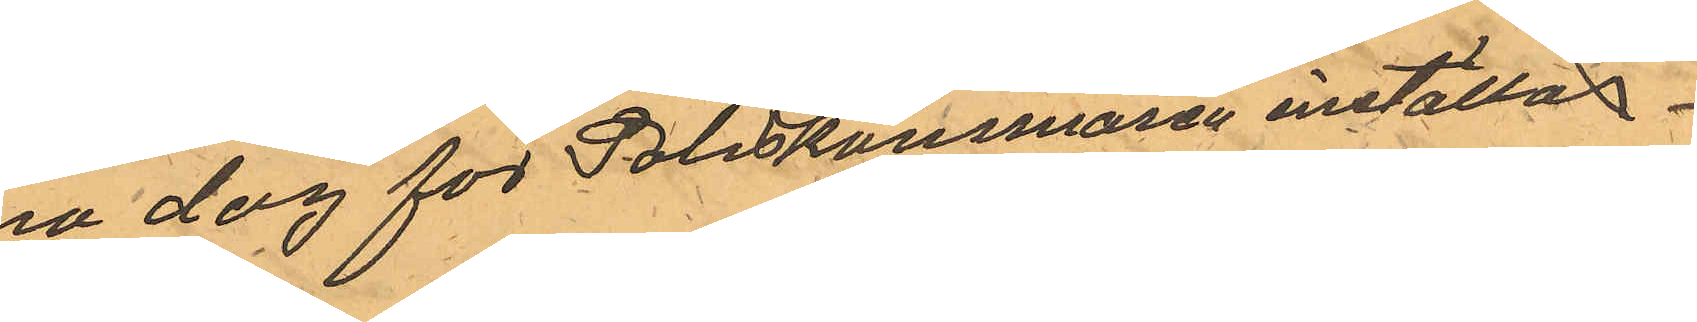na dag för Poliskammaren inställas
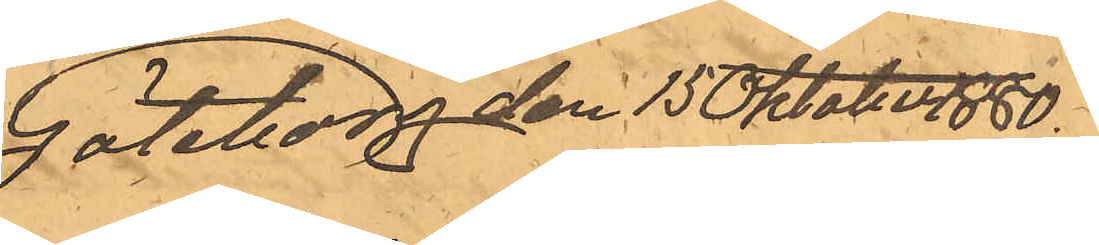Göteborg den 15 Oktober 1880.
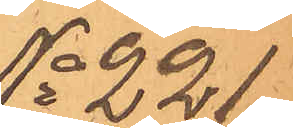No 221.
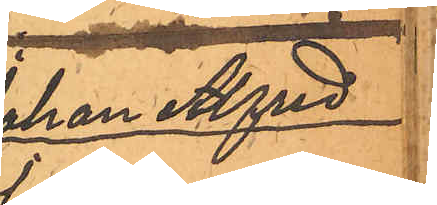Johan Alfred
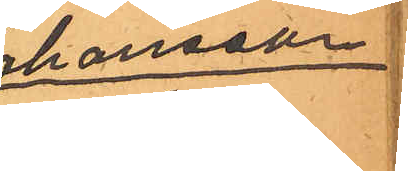Johansson
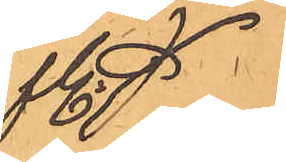m fl.
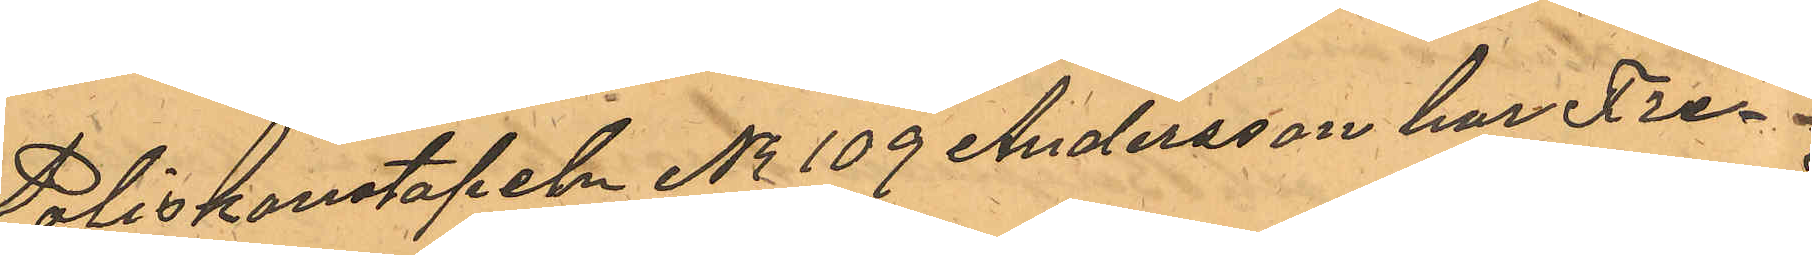Poliskonstapeln No 109 Andersson har Fre¬
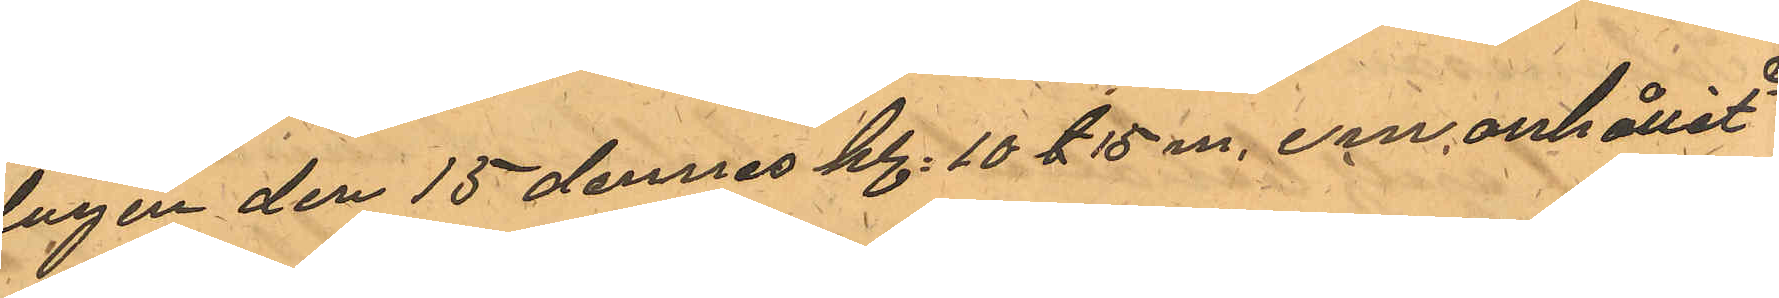dagen den 15 dennes kl. 10 & 15 m. em anhållit
